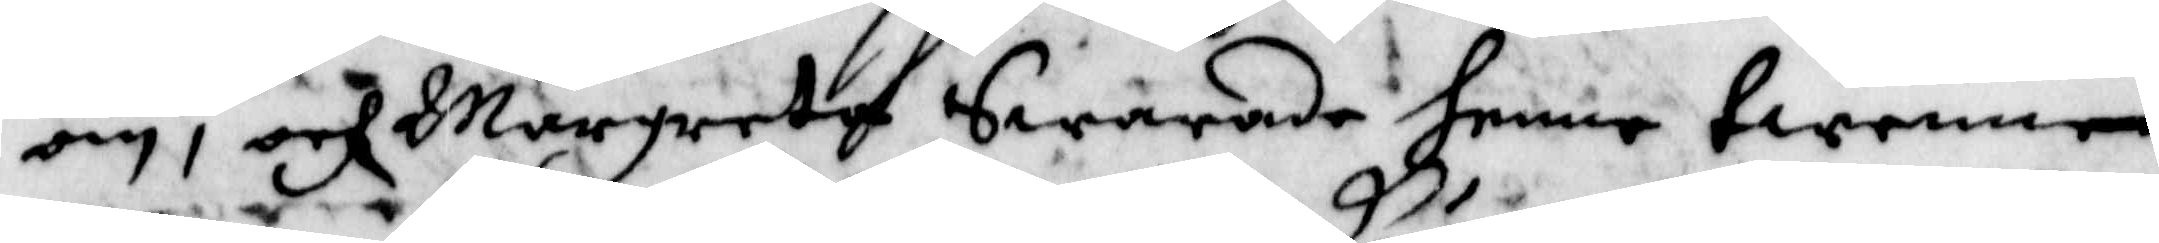om, och Margreta Swarade henne twenne
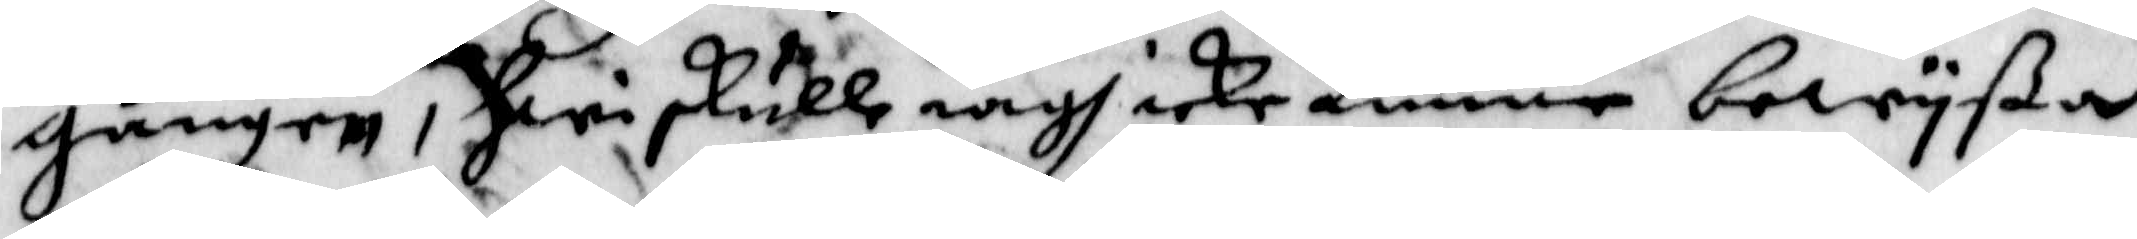gånger, Hwi skulle iagh icke kunne bewyßa
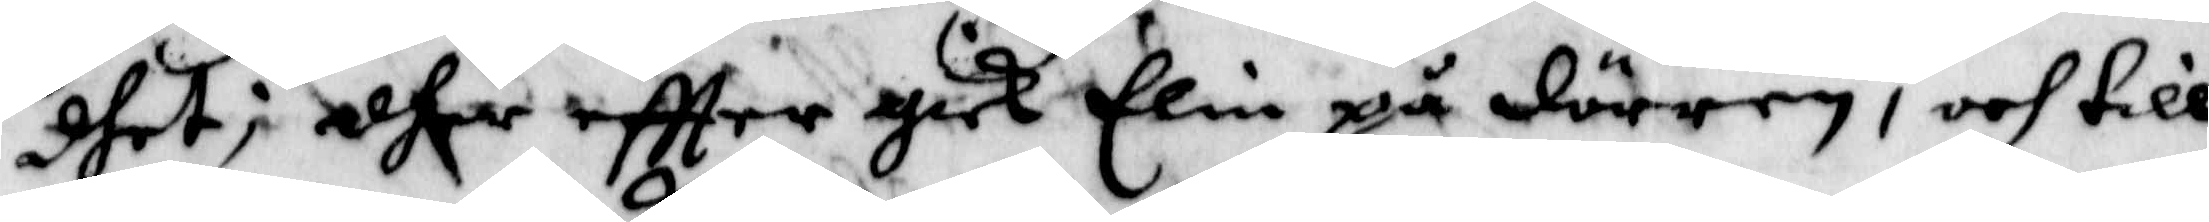dhet; dher eftter gick Elin på dörren, och till
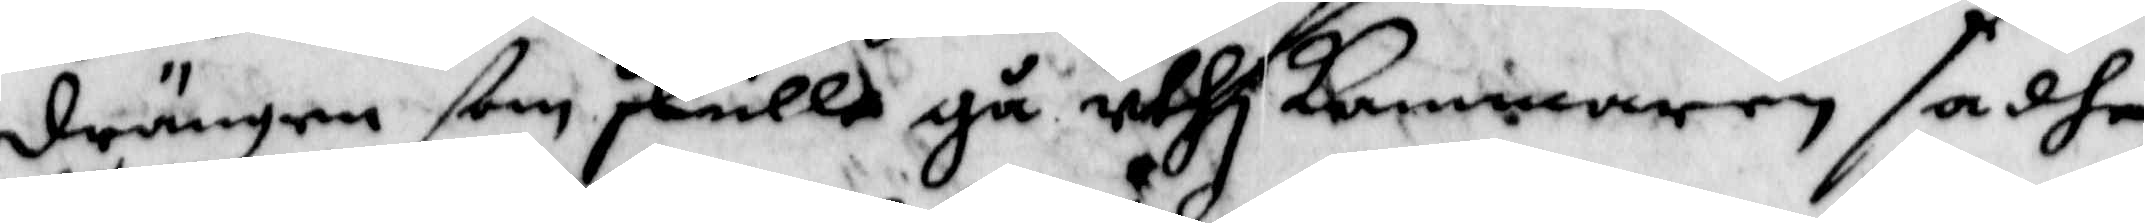drängen ßom skulle gå uthi kammaren, sadhe
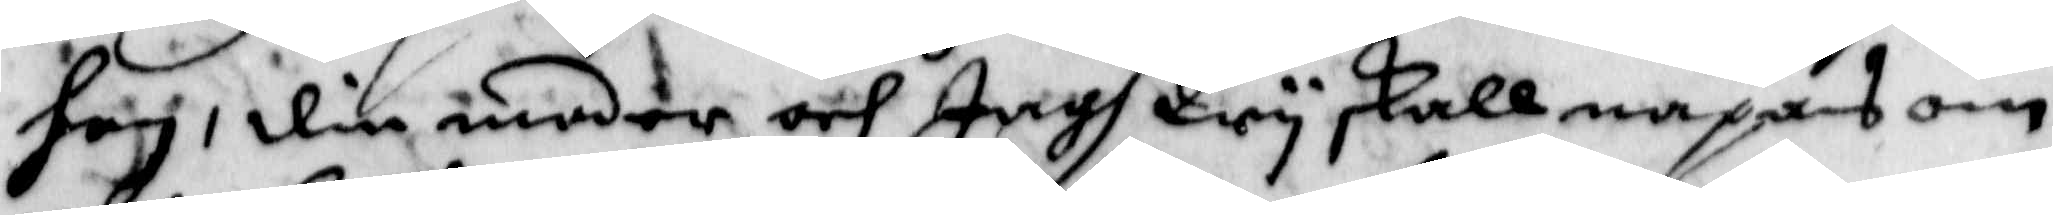hon; din moder och Jagh Wy skall napas om
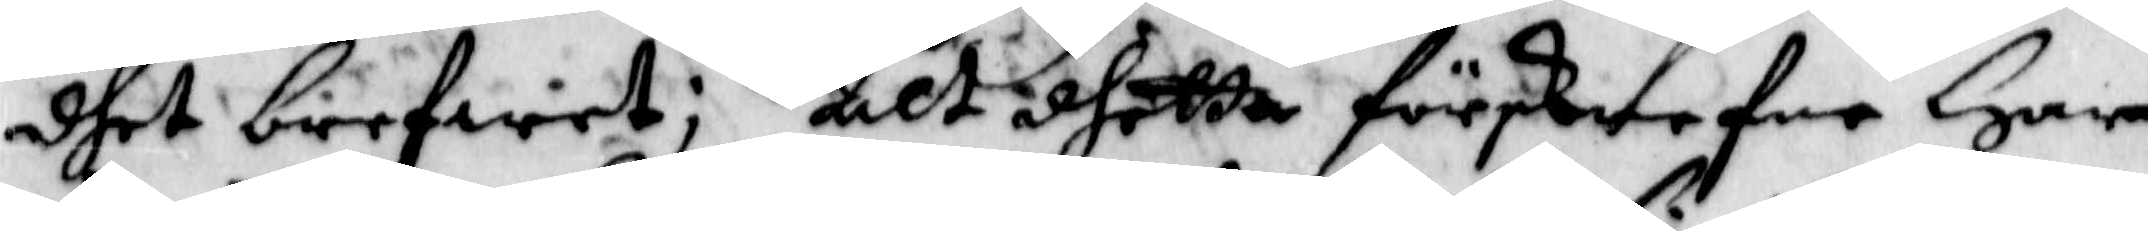dhet brefwet; Alt dhetta förskrefne Har
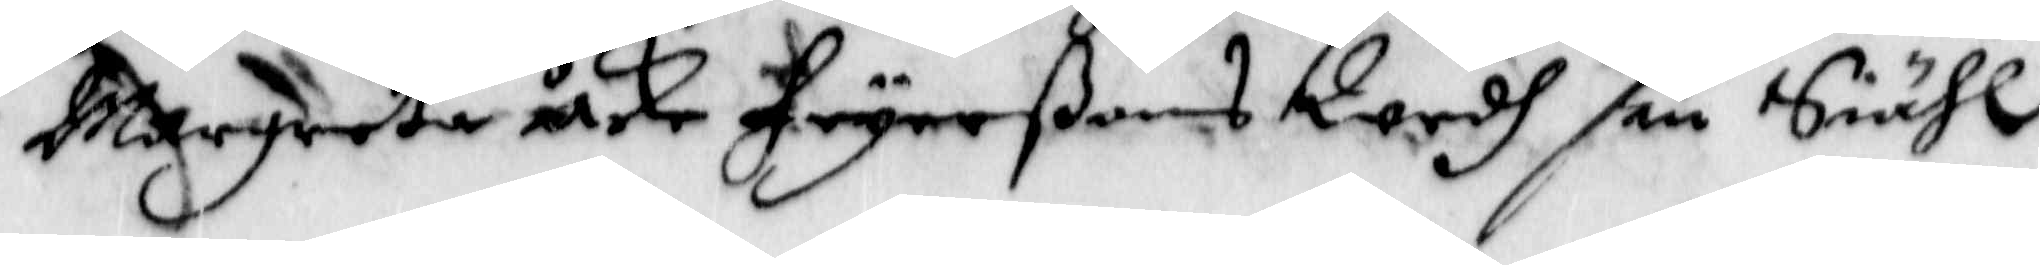Margreta åke Fryerßons Wedh sin Siähl
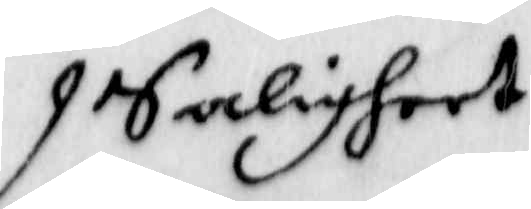Saligheet
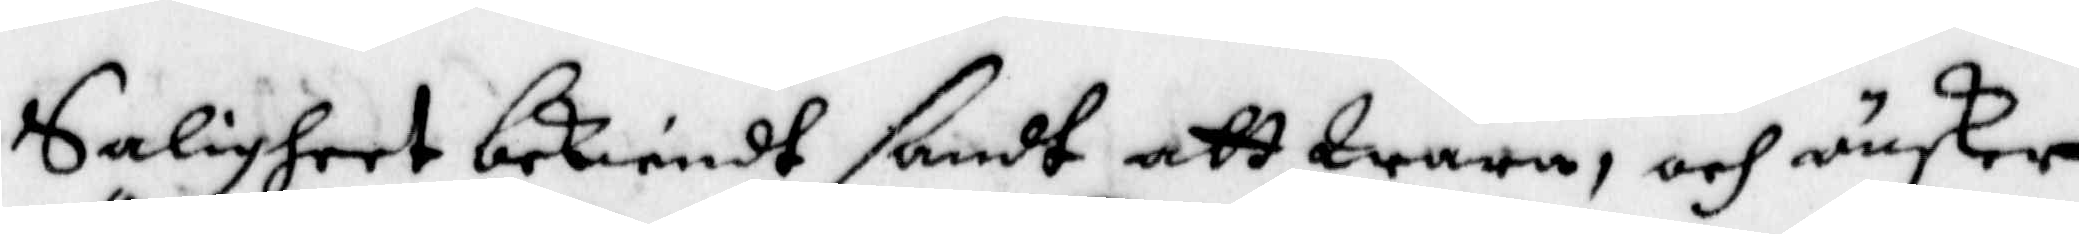Saligheet bekiendt sandt att Wara, och önsker
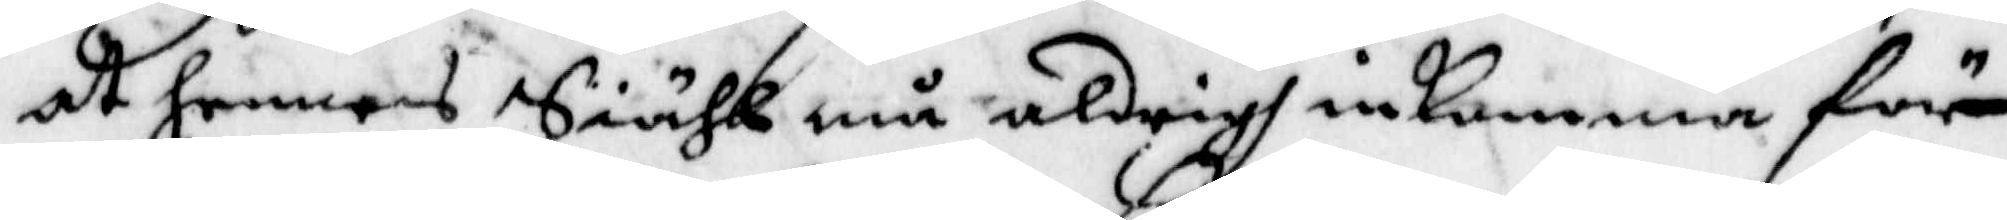at hennes Siähl må aldrigh inkomma för
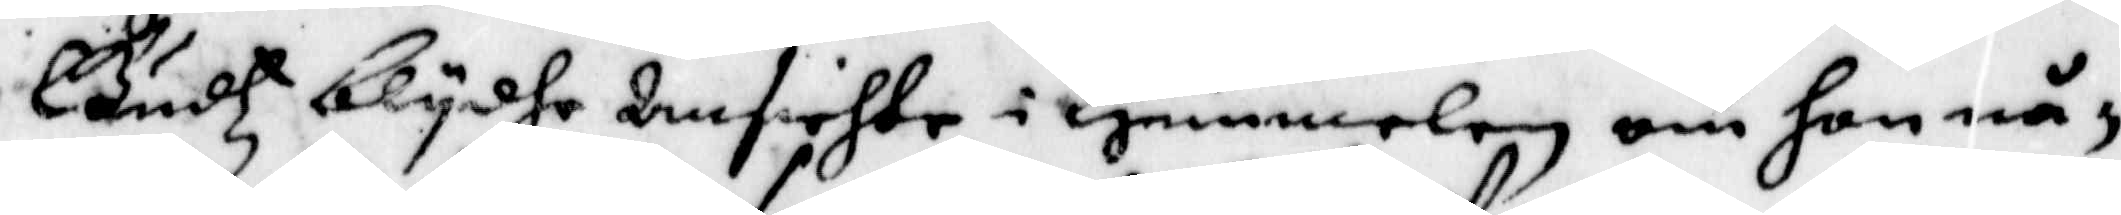Gudtz blydhe Ansichte i Himmelen om hon nå¬
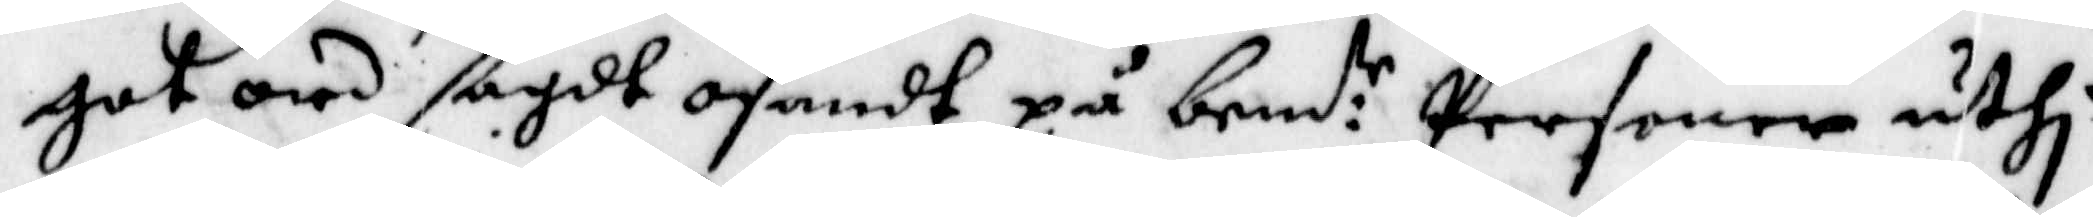got ord sagdt osandt på bemd:te Personer uthi
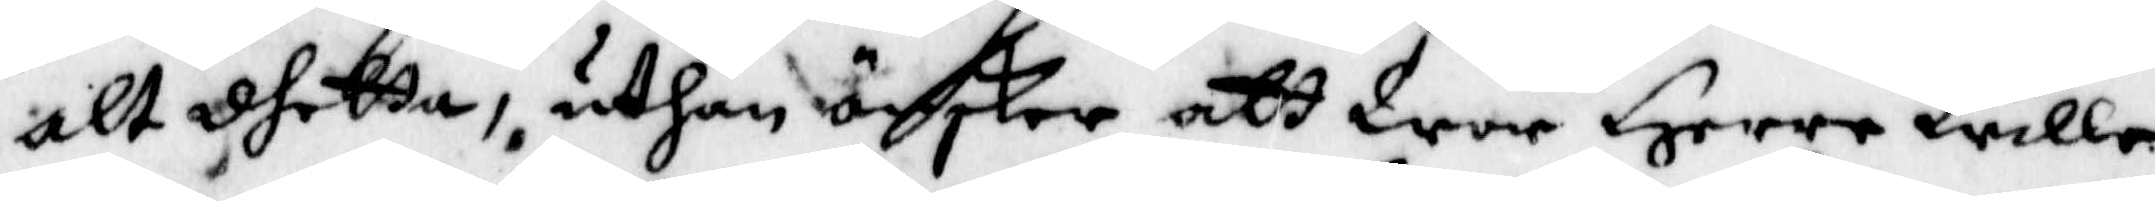alt dhetta, uthan önskar att Wor Herre Wille
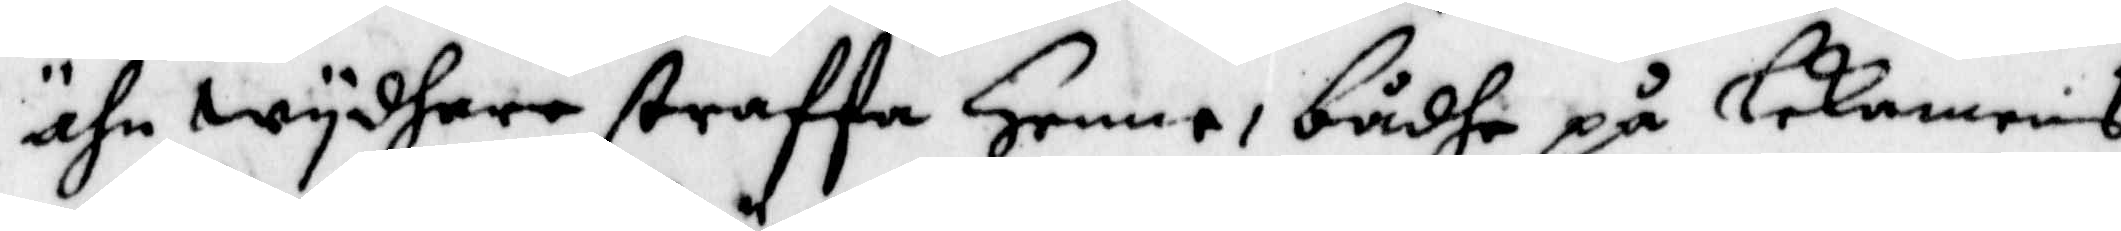ähn wydhare straffa Henne, bådhe på lekanebs
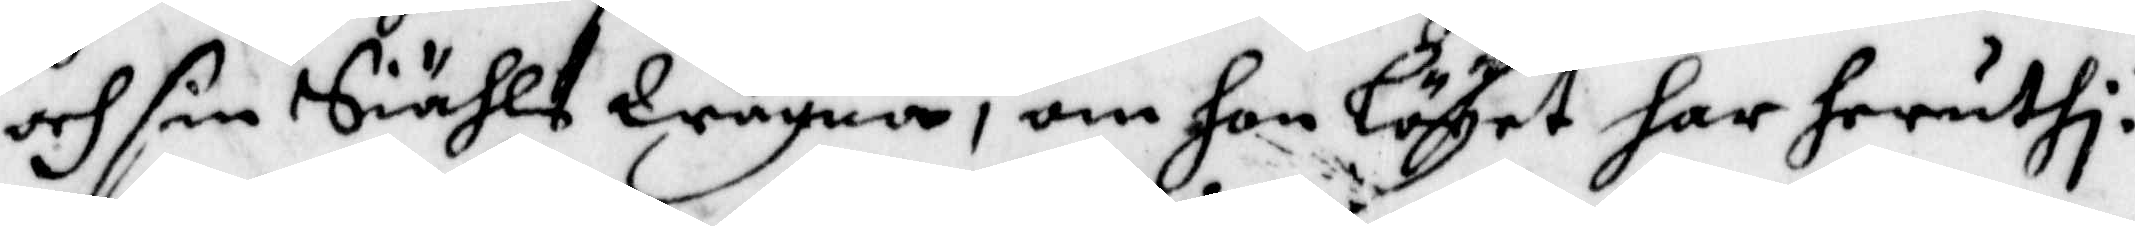och sin Siähls Wägna, om hon Löyet har heruthi.
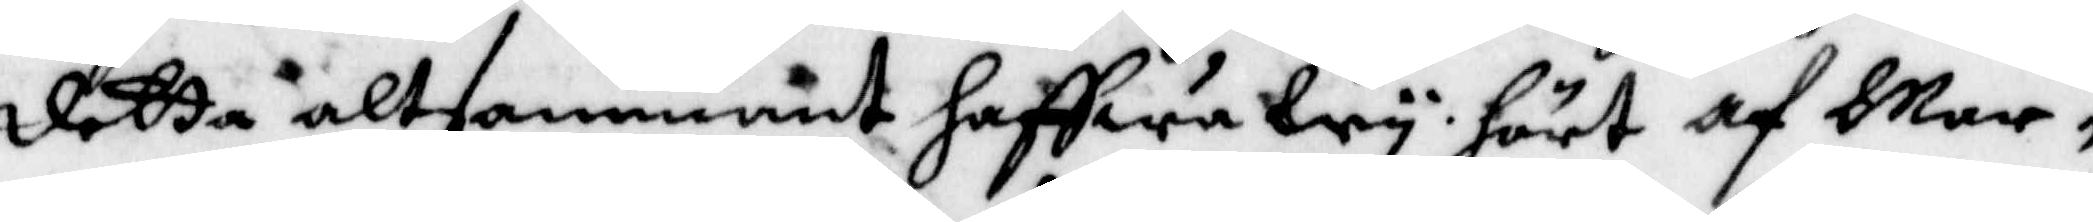Detta altsammant haffwa Wy hört af Mar¬
